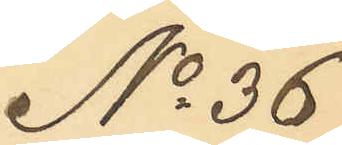No 36
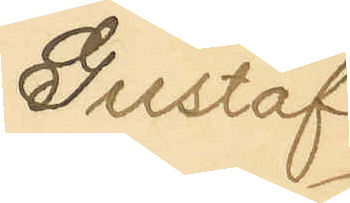Gustaf
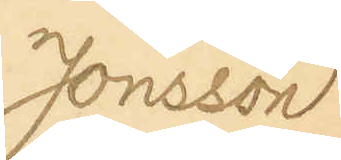Jonsson
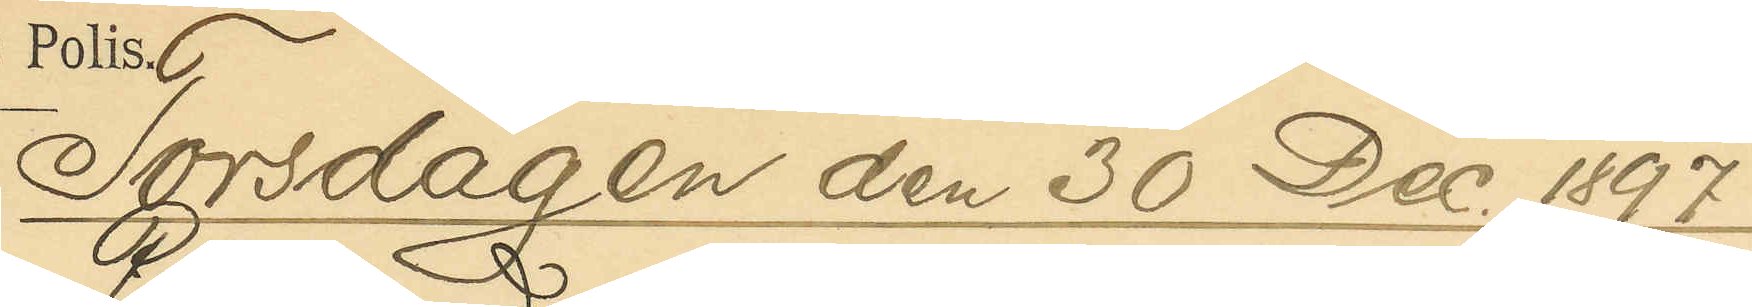Torsdagen den 30 Dec. 1897.
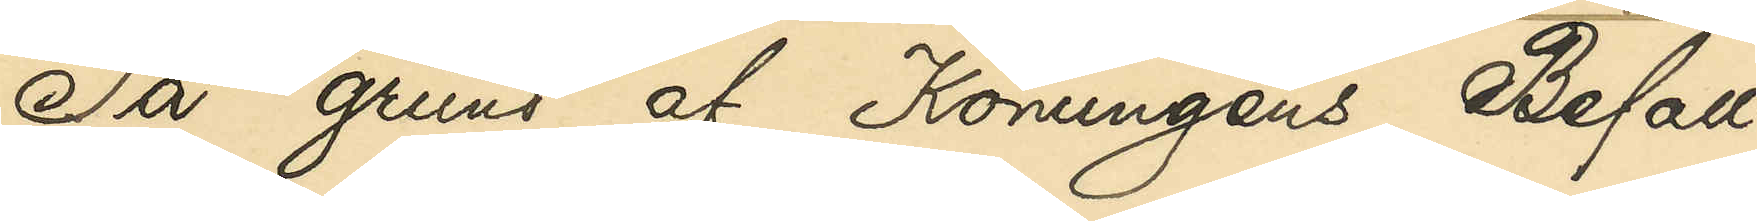På grund af Konungens Befall¬
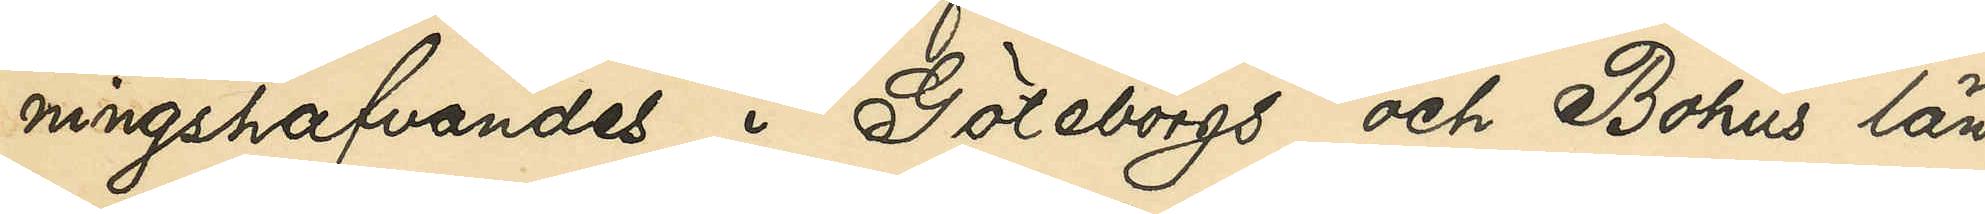ningshafvandes i Göteborgs och Bohus län
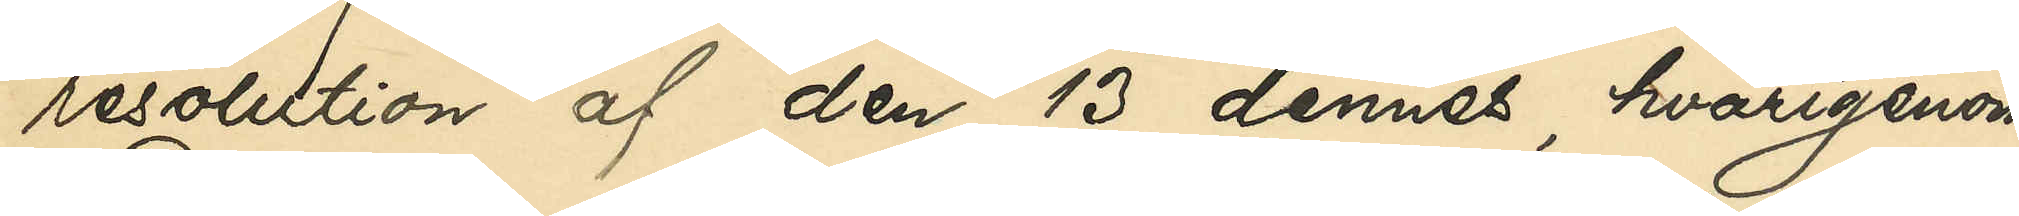resolution af den 13 dennes, hvarigenom
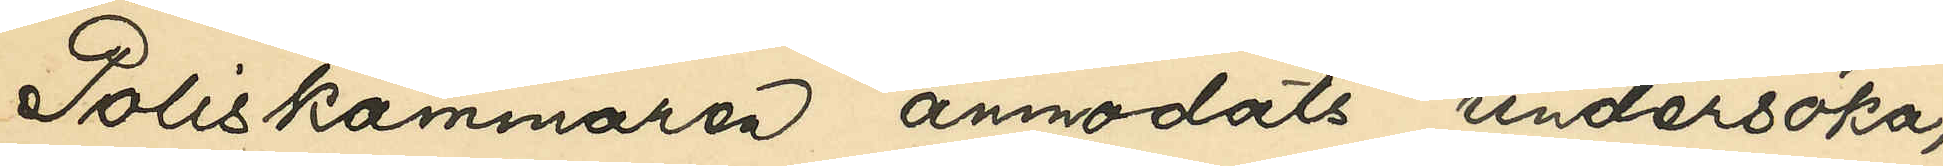Poliskammaren anmodats undersöka,
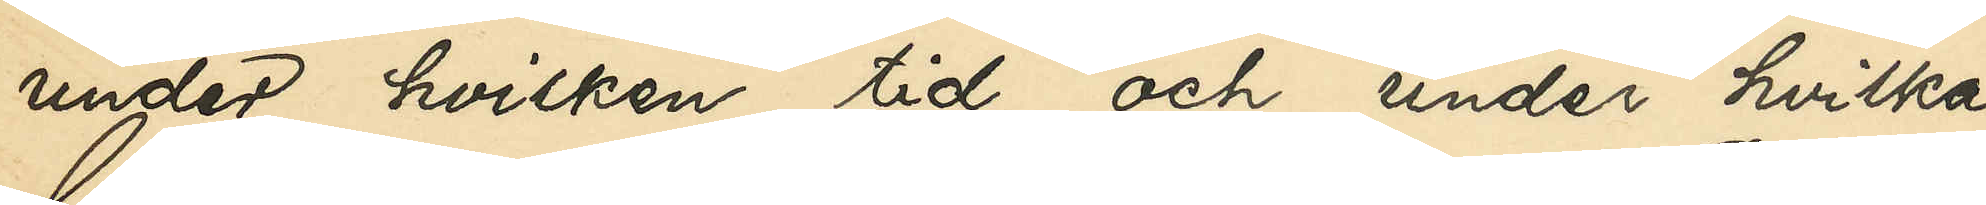under hvilken tid och under hvilka
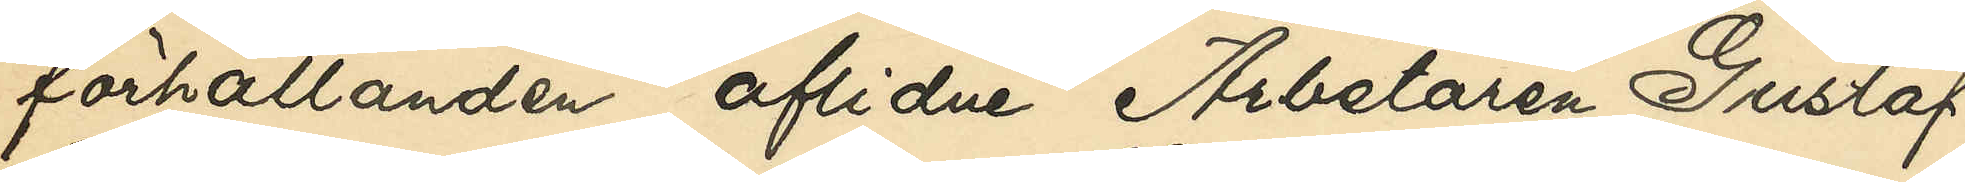förhållanden aflidne Arbetaren Gustaf
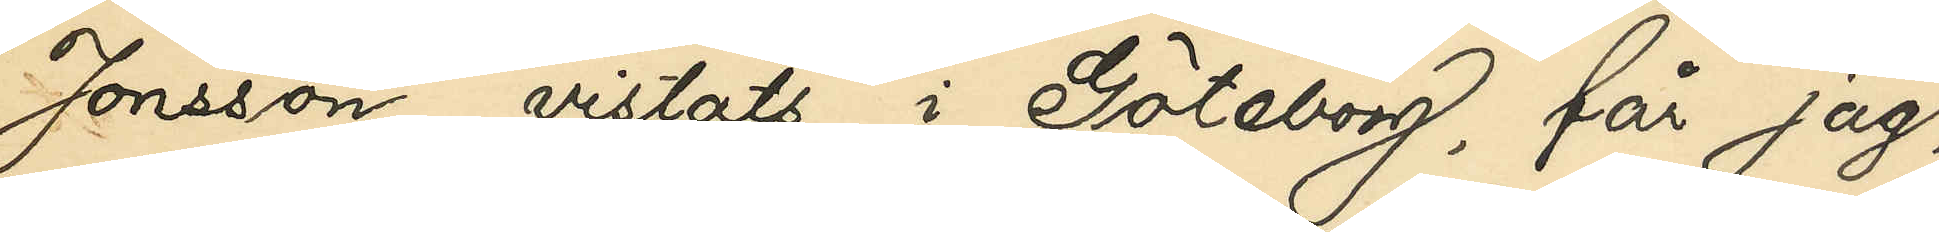Jonsson vistats i Göteborg, får jag,
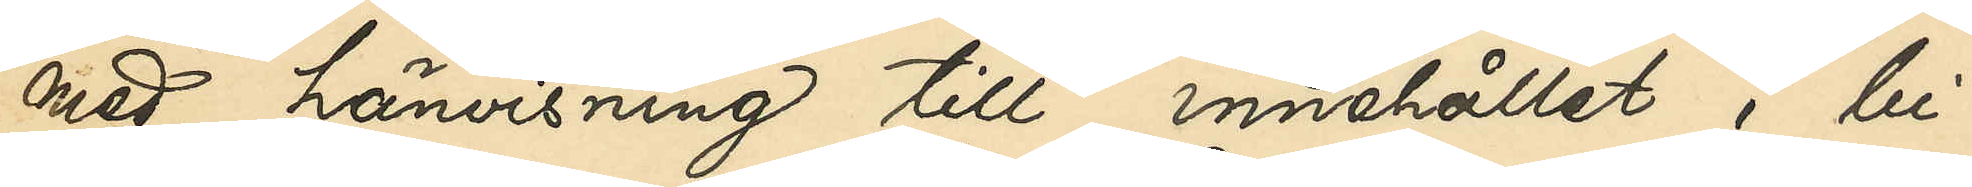med hänvisning till innehållet i bi¬
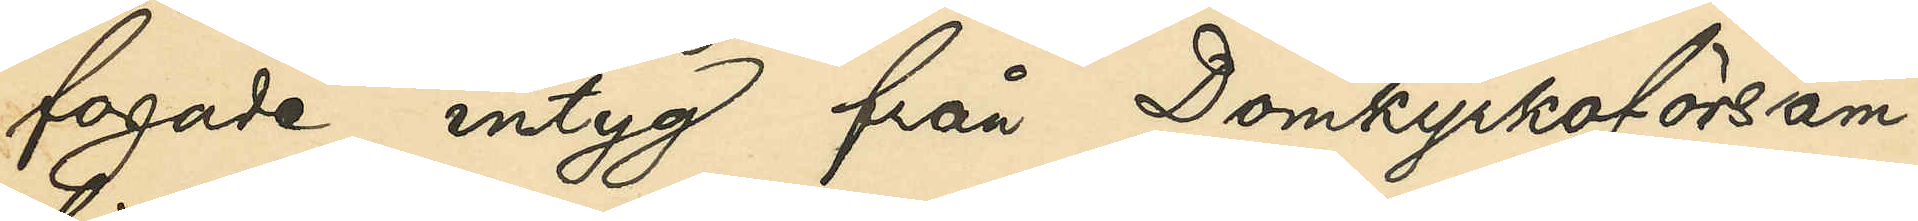fogade intyg från Domkyrkoförsam¬
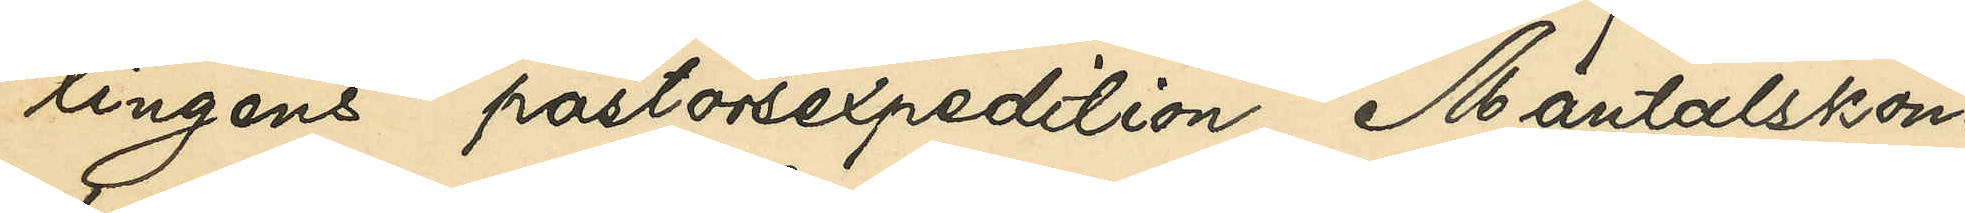lingens pastorsexpedition, Mantalskon¬
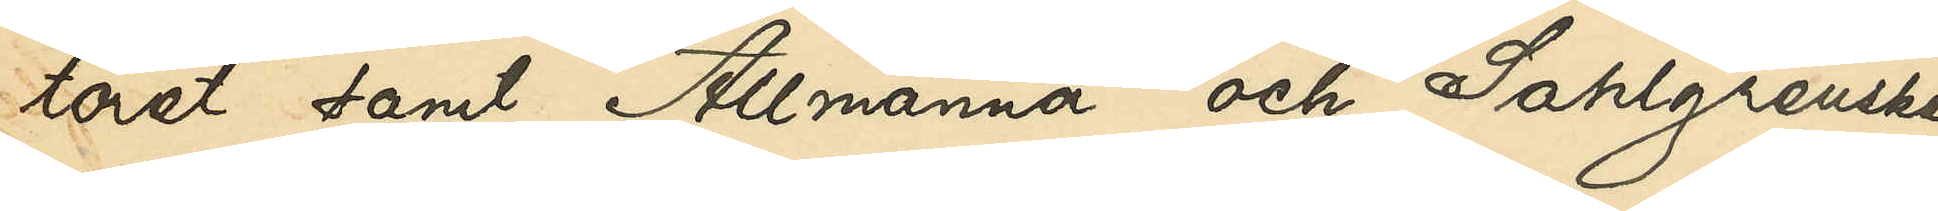toret samt Allmänna och Sahlgrenska
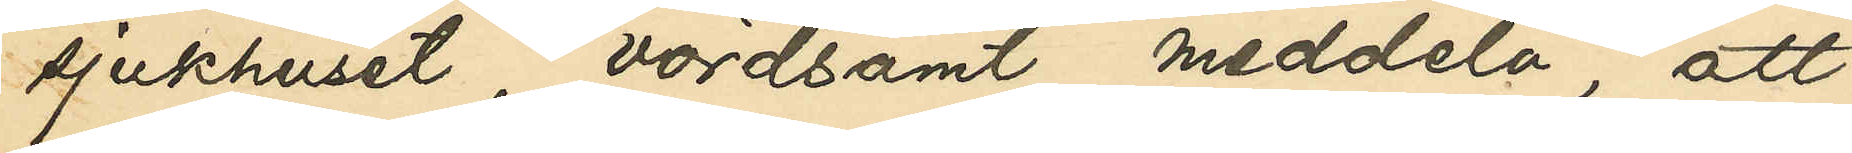sjukhuset, vördsamt meddela, att
